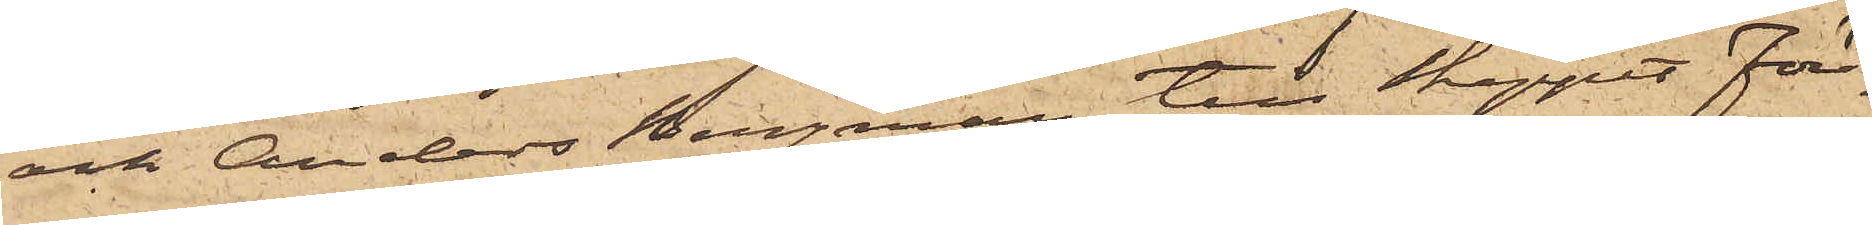och Anders Bergman till Skeppet Före¬
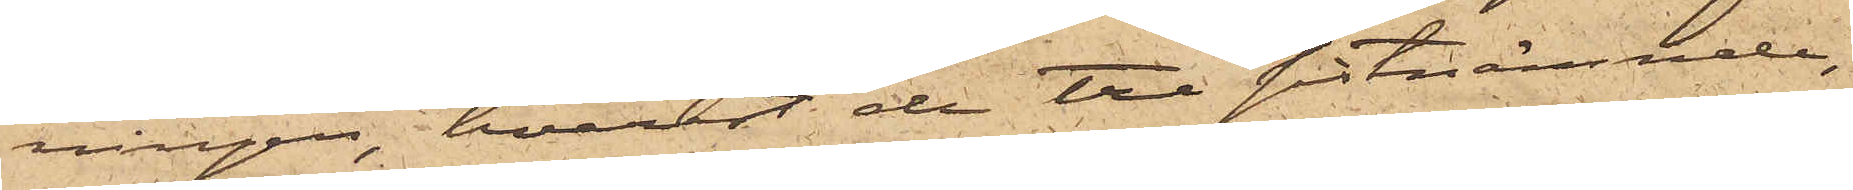ningen, hvarest de tre sistnämnde,
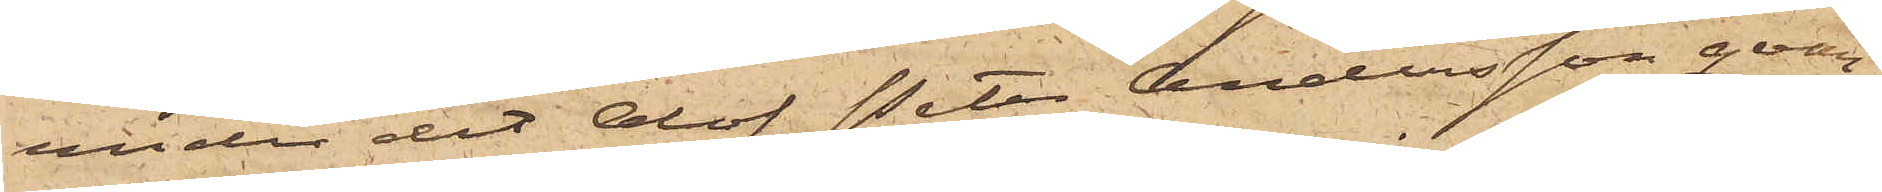under det Olof Peter Andersson qvar¬
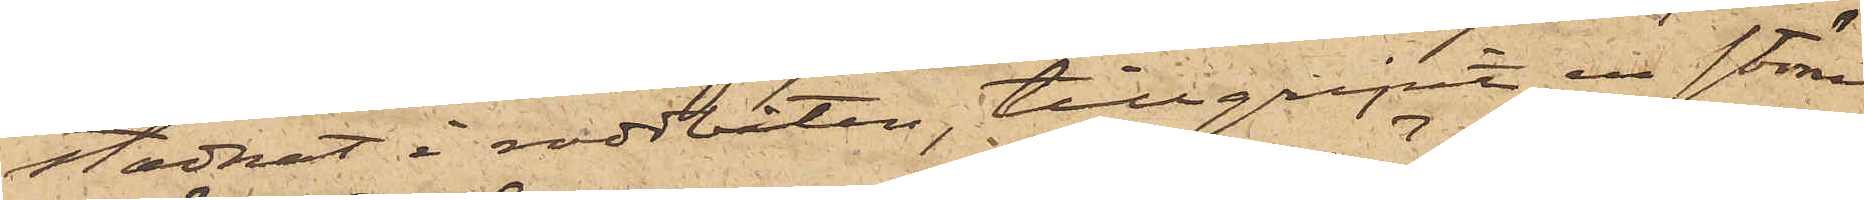stadnat i roddbåten, tillgripit en större
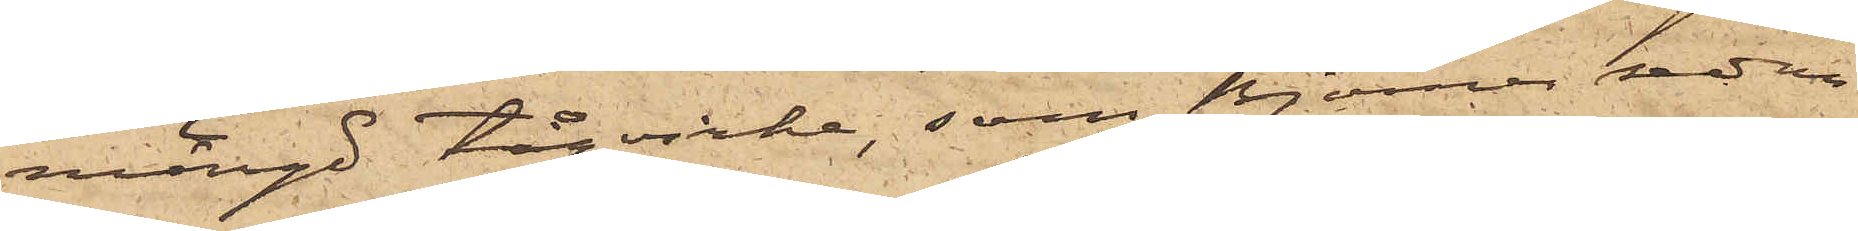mängd tågvirke, som Björner sednare
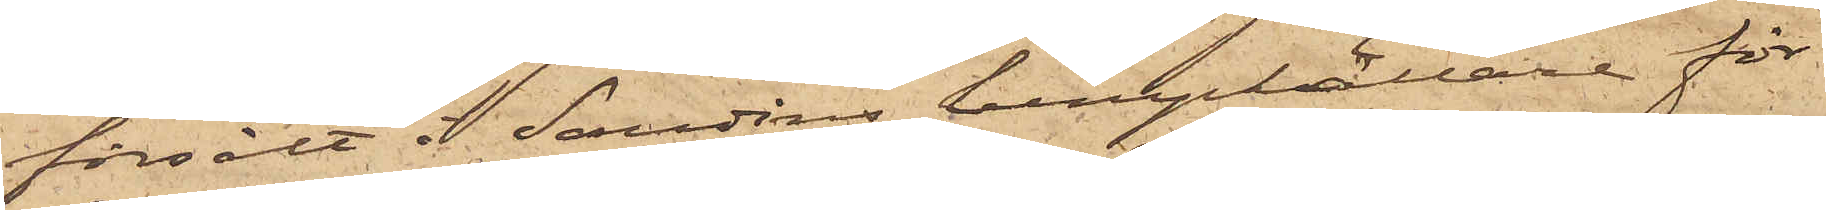försålt i Sandins lumpkällare för
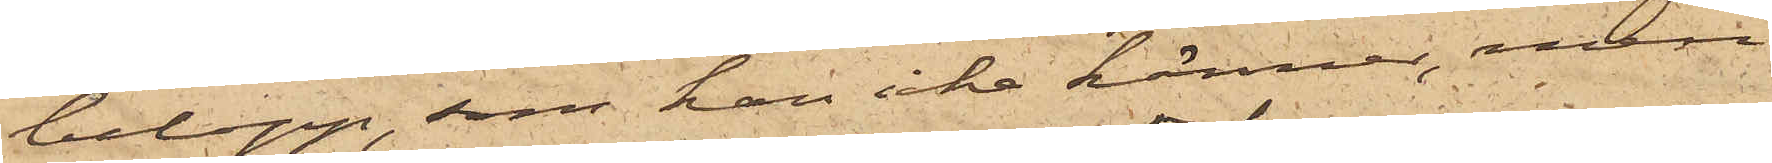belopp, som han icke känner, men
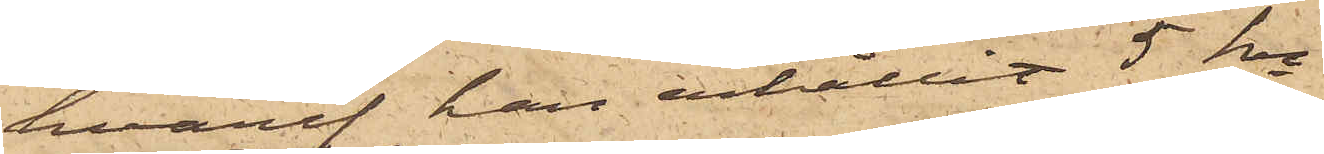hvaraf han erhållit 5 kr.
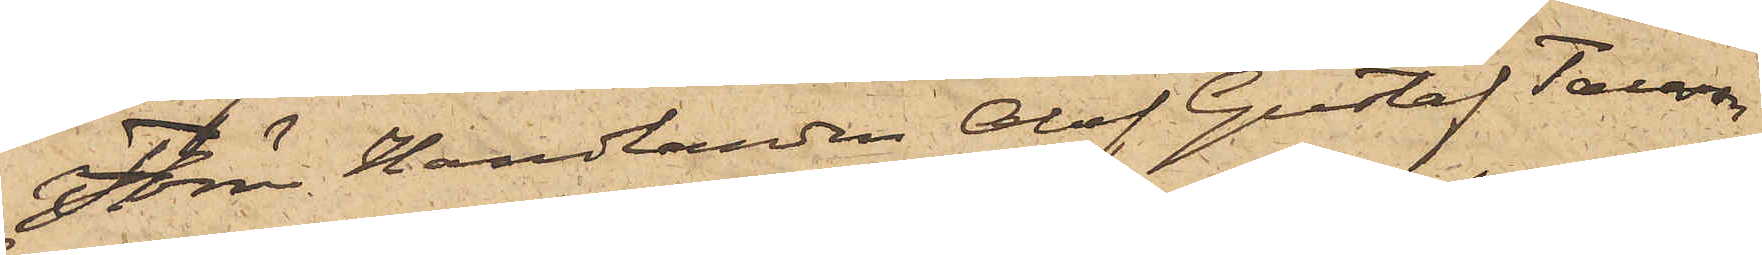Förre Handlanden Olof Gustaf Tausson,
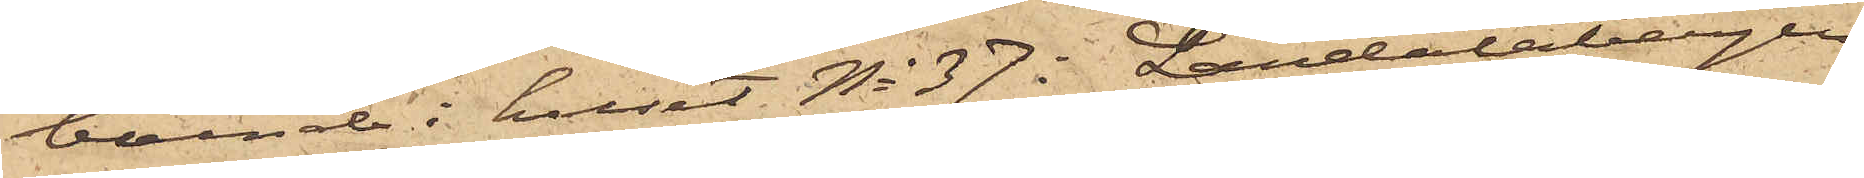boende i huset No 37 i Landalabergen
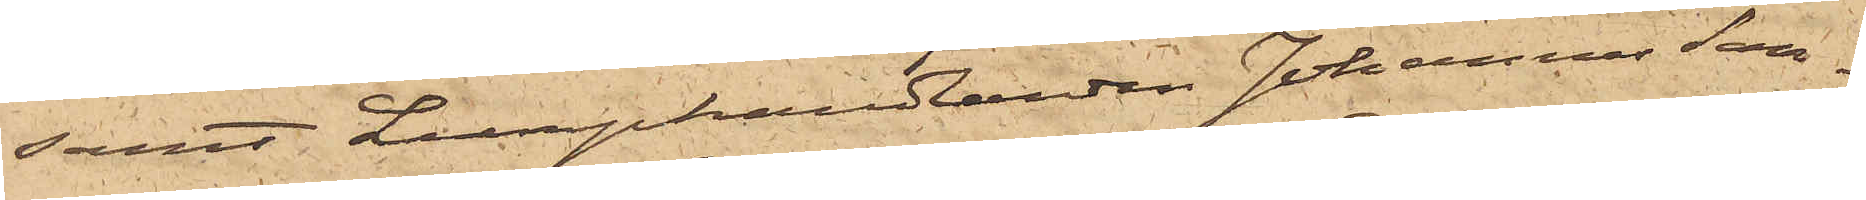samt Lumphandlanden Johannes San¬
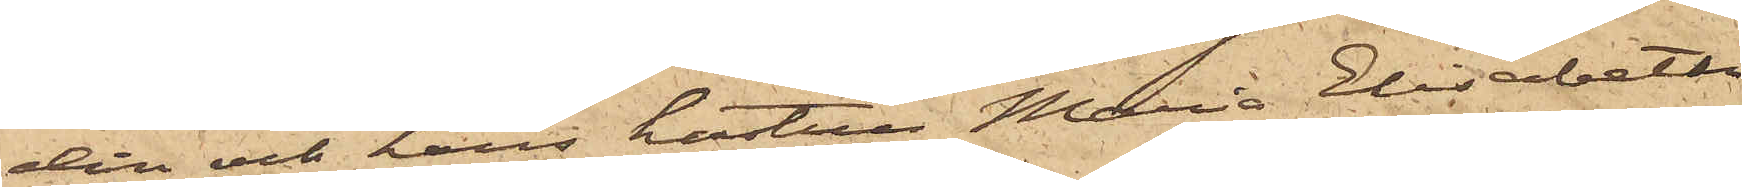din och hans hustru Maria Elisabeth
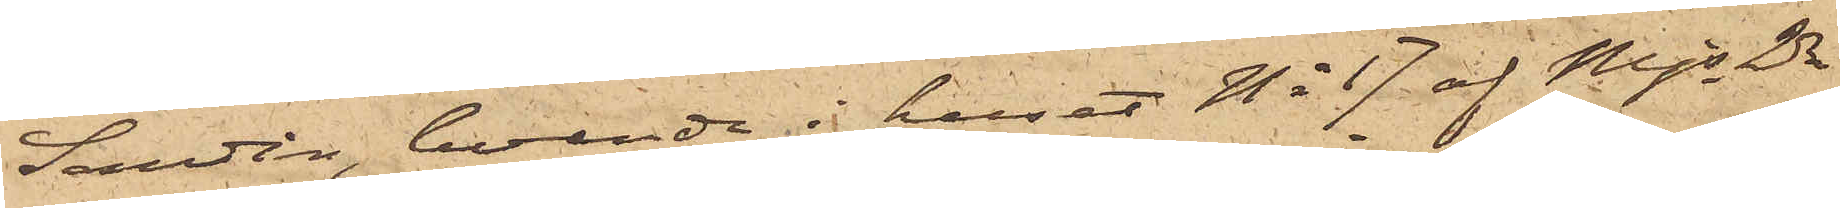Sandin, boende i huset No 17 af Mjs 2dre
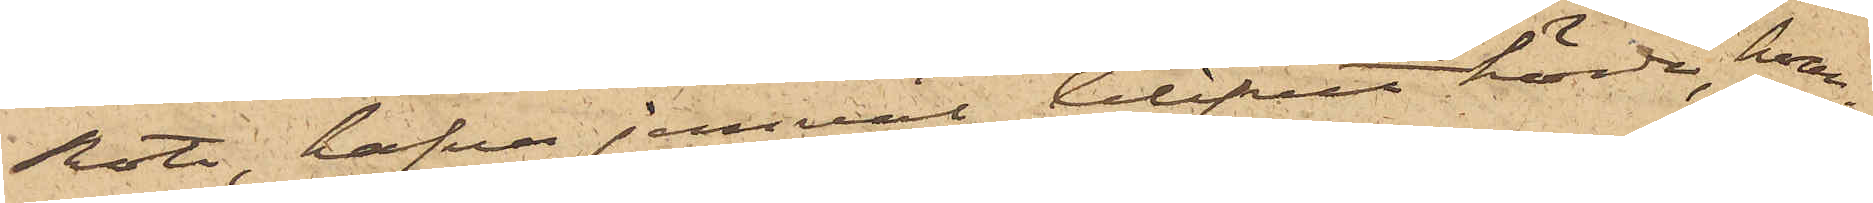Rote, hafva jemväl blifvit hörde, hvar¬
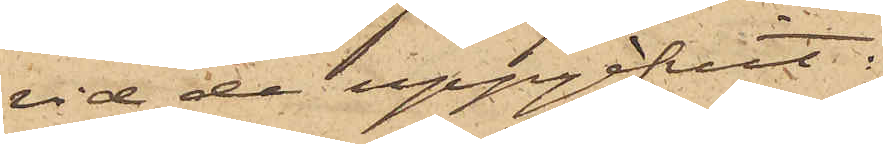vid de uppgifvit:
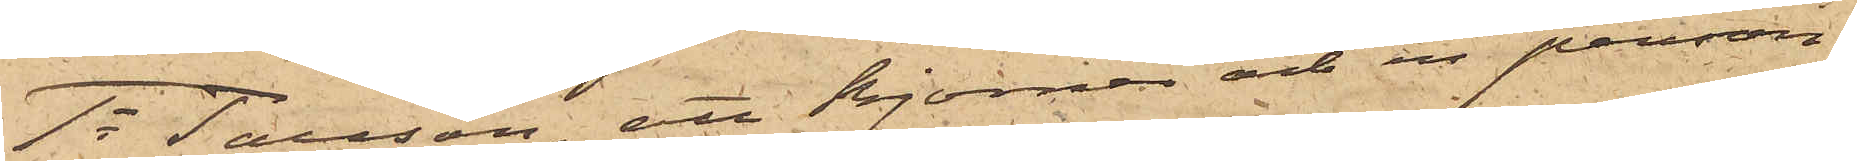1o Tausson, att Björner och en person
